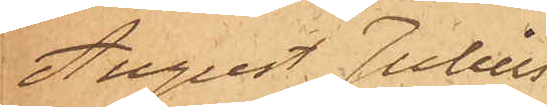August Julius
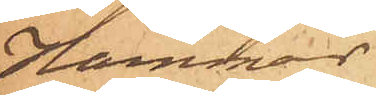Hammar
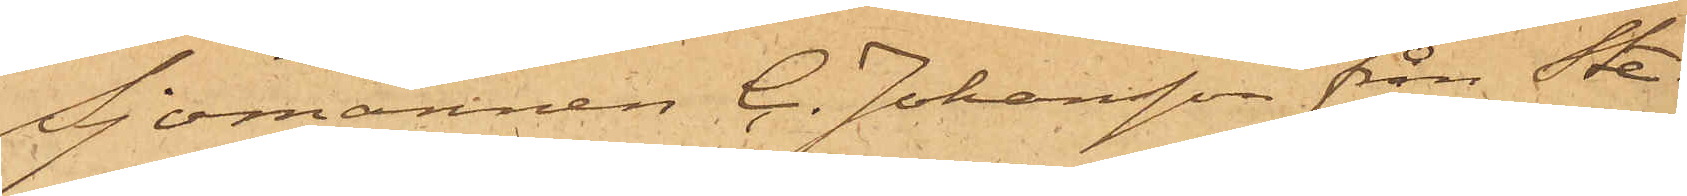Sjömannen C. Johansson från Ste¬
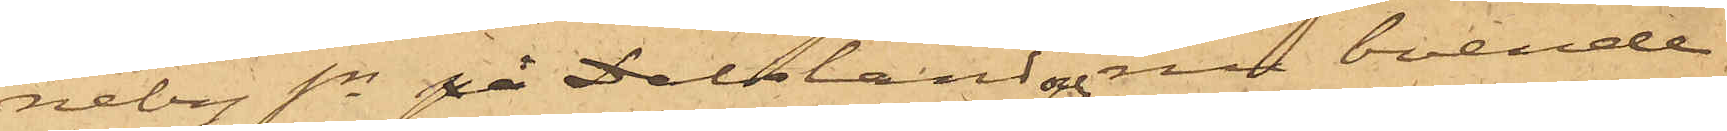neby sn Dalsland och boende
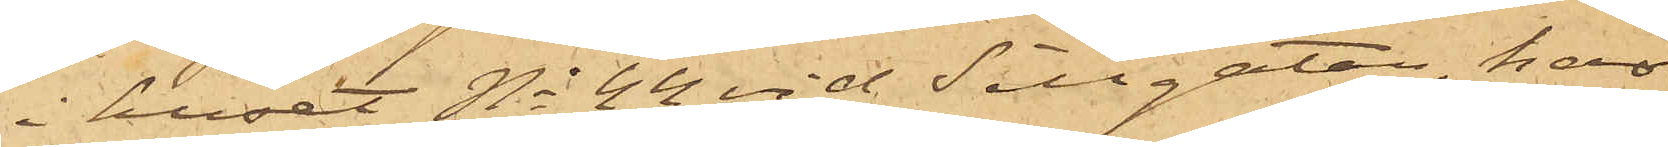i huset No 44 vid Sillgatan, har
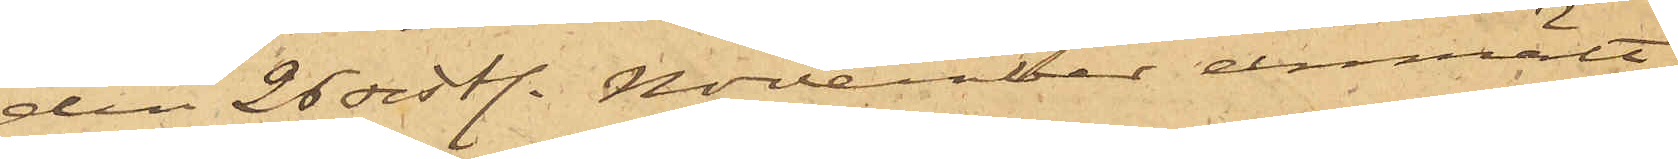den 26 sist. November anmält
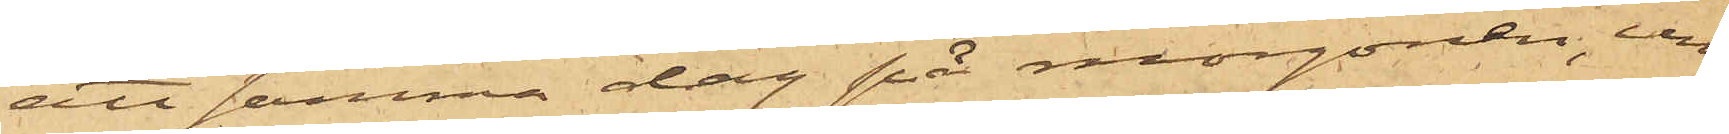att samma dag på morgonen, un¬
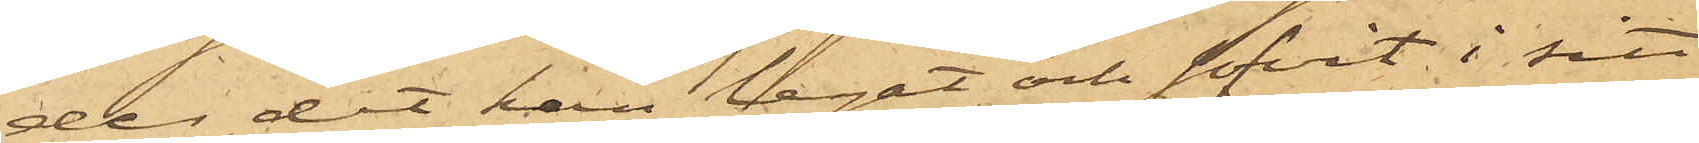der det han legat och sofvit i sitt
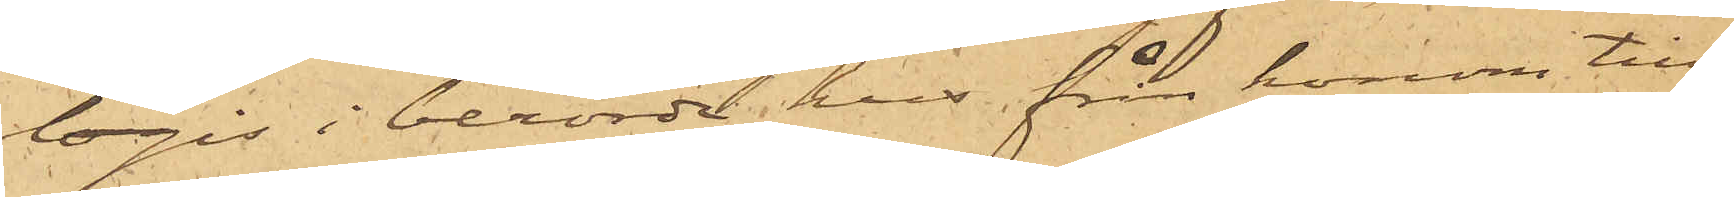logis i berörde hus, från honom till¬
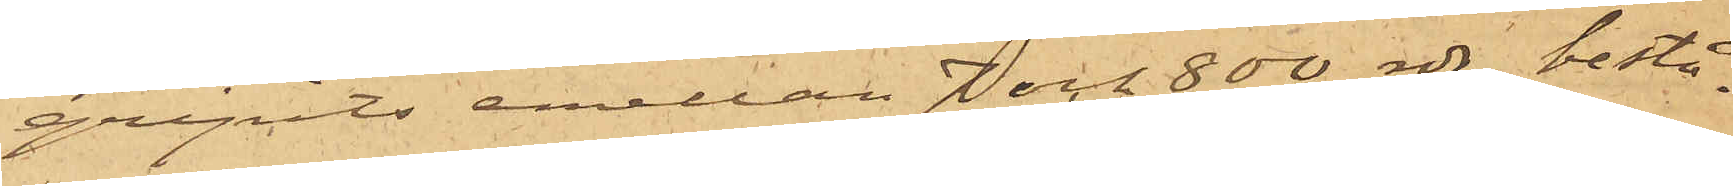gripits emellan 7 och 800 rdr, bestå¬
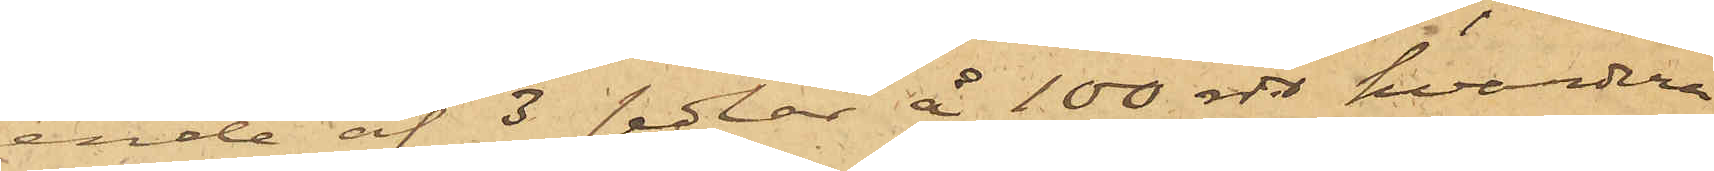ende af 3 sedlar å 100 rdr hvardera
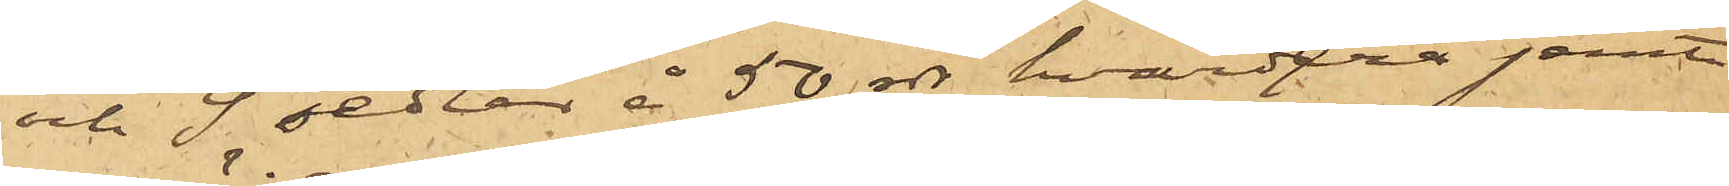och 9 sedlar å 50 rdr hvardera jemte
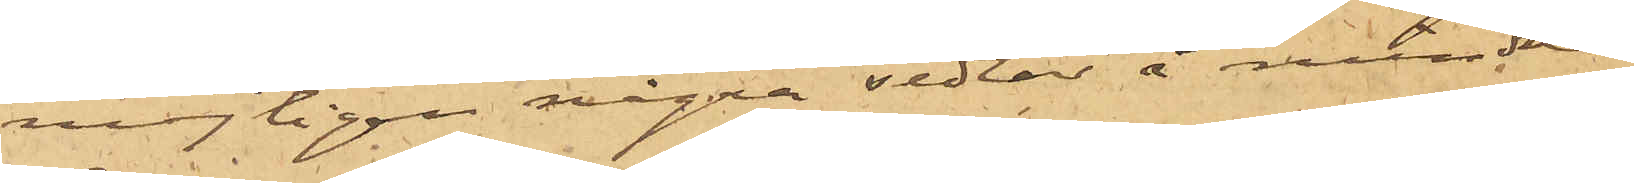möjligen några sedlar å mindre
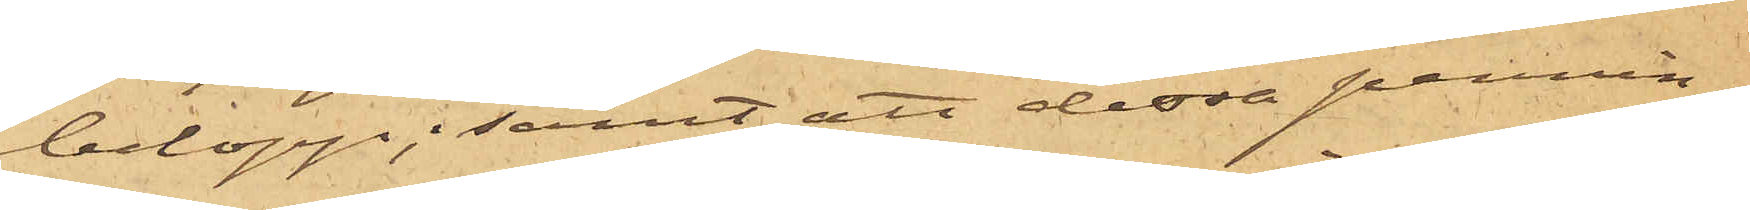belopp; samt att dessa pennin¬
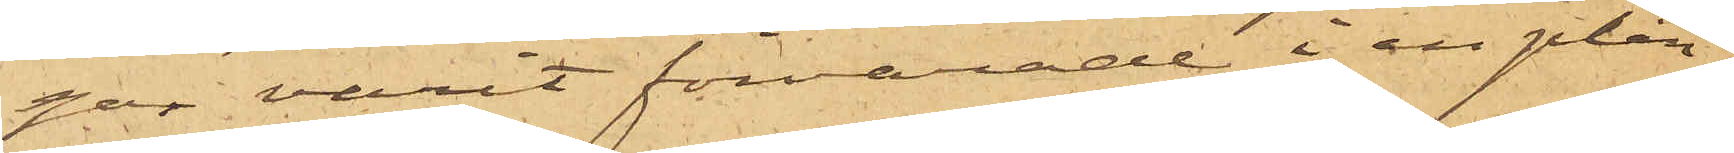gar varit förvarade i en plån¬
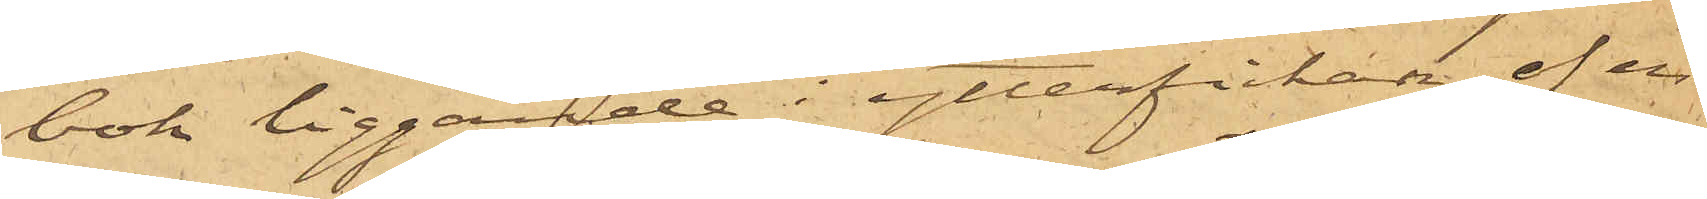bok liggande i ytterfickan af en
